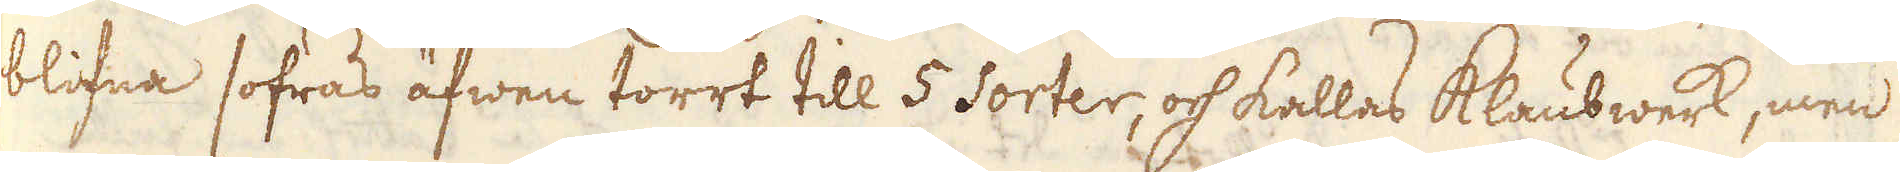blifna sofras äfwen torrt till 5 Sorter, och kallas Klaubwerk, men
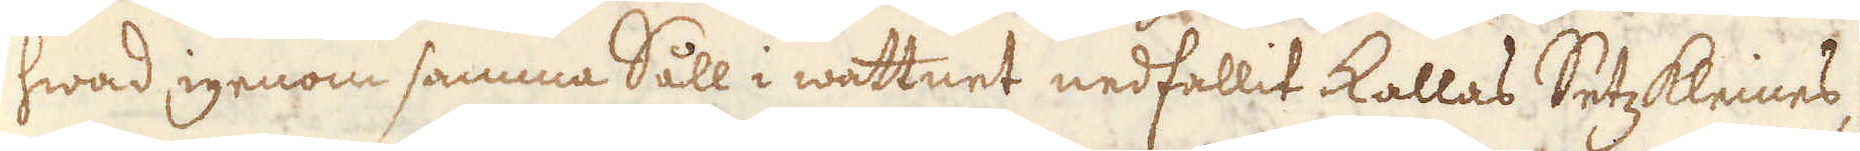hwad igenom samma Såll i wattnet nedfallit kallas Ertzkleines,
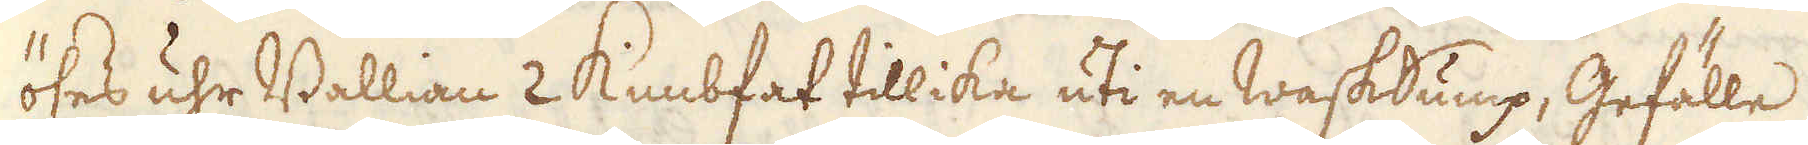öses uhr Ballian 2 Kiesfat tillika uti en Wasksump, Gefälle
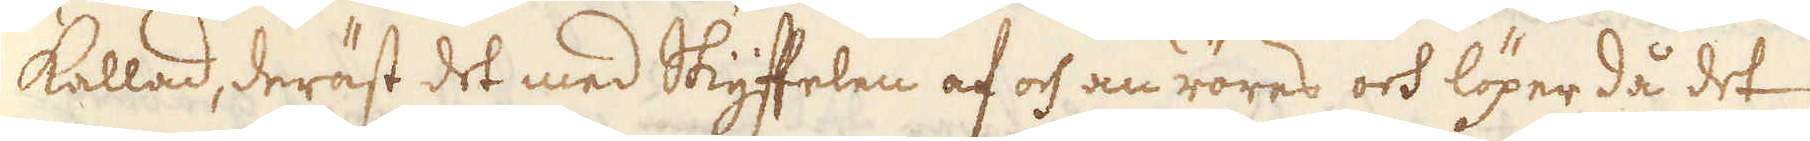kallad, deräst det med Skyffelen af och an röres och löper då det
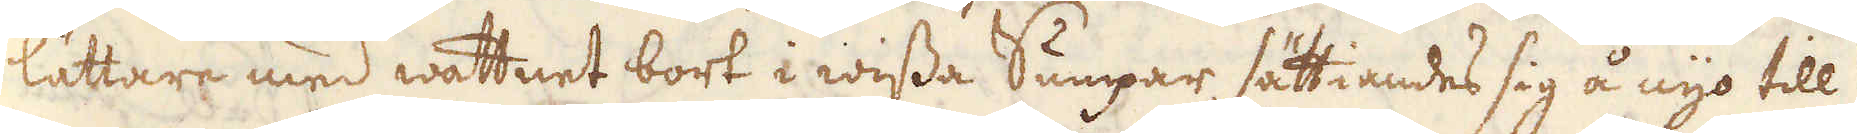lättare med wattnet bort i wissa Sumpar sättiandes sig å nyo till
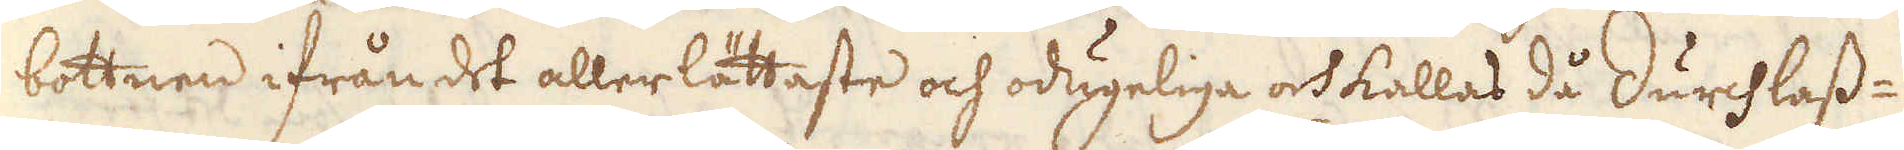bottnen ifrån det allerlättaste och odugeliga och kallas då durchlass-
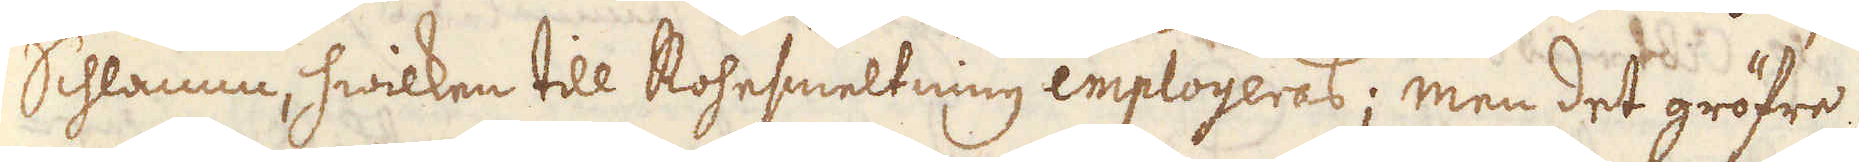Schlanen, hwilken till Kohesmeltning employeras; men det gröfre
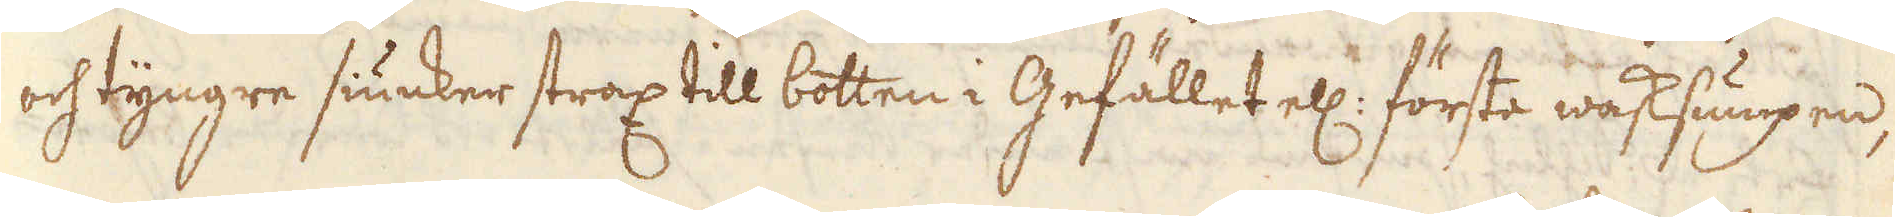och tyngre siunker strax till botten i Gefället el: förta wasksumpen.
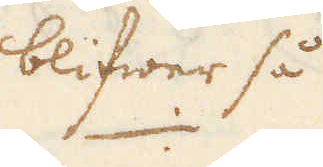blifwer så
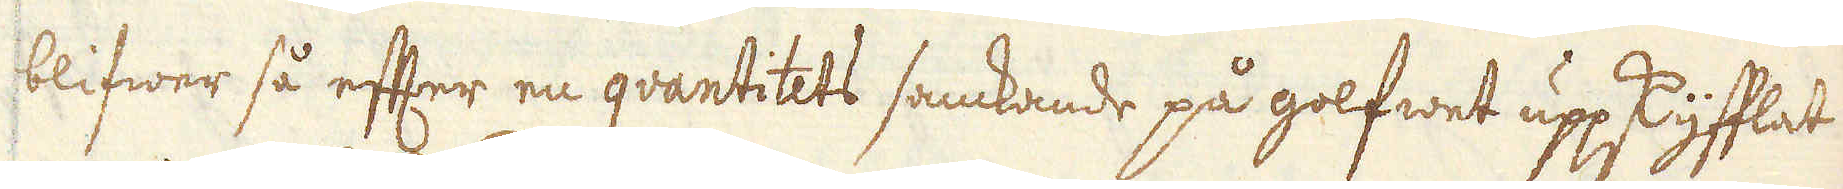blifwer så efter en qvantitets samkande på golfwet uppskyfflat
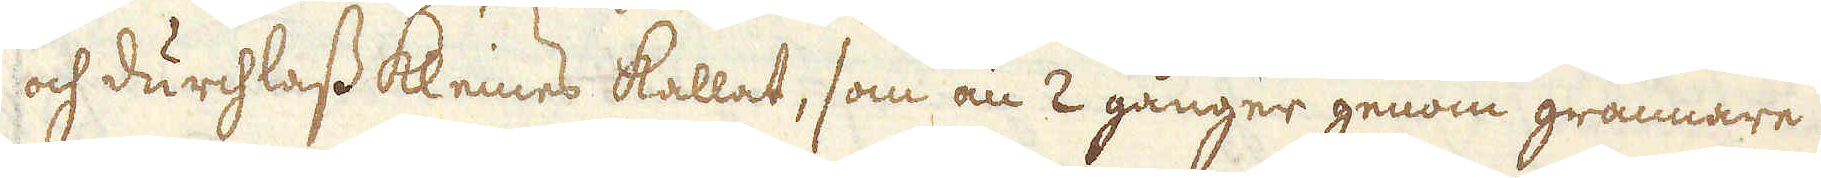och durchlass kleines kallat, som än 2 gånger genom grannare
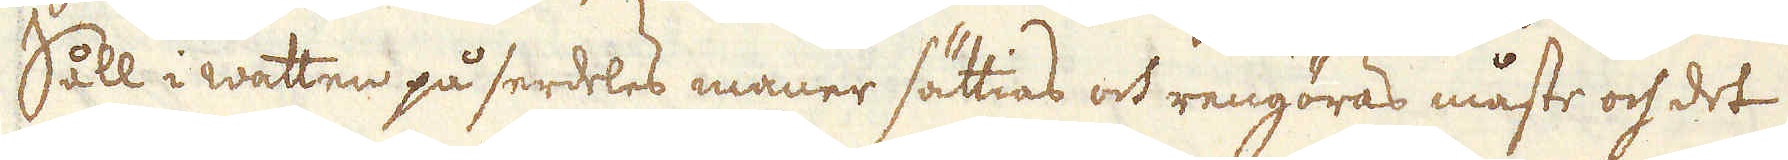Såll i watten på serdeles maner sättias och rengöras måste och det
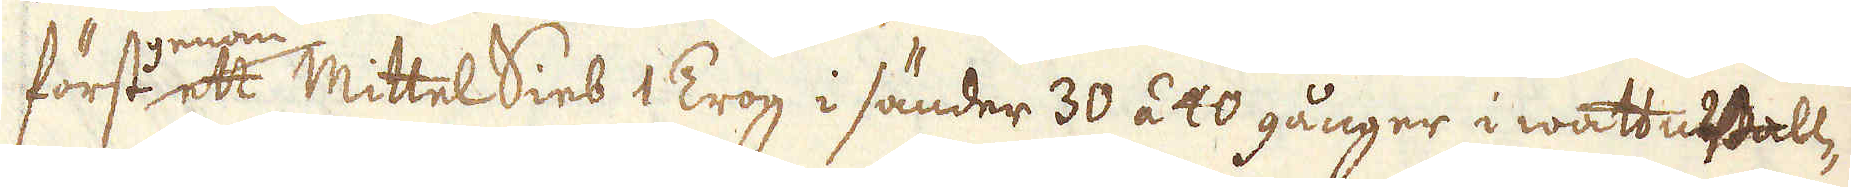först genom ett MittelSieb 1 Trog i sänder 30 á 40 gånger i wattuBall-
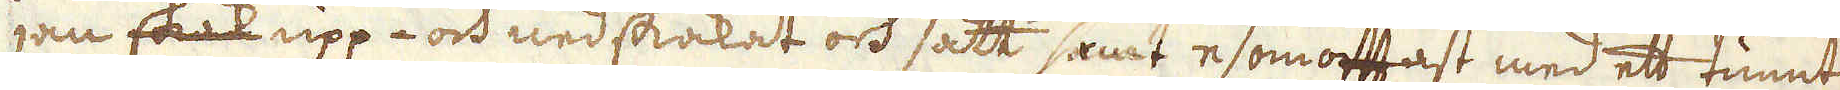jan skak upp- och nedskakat och satt samt esomofftast med ett tunnt
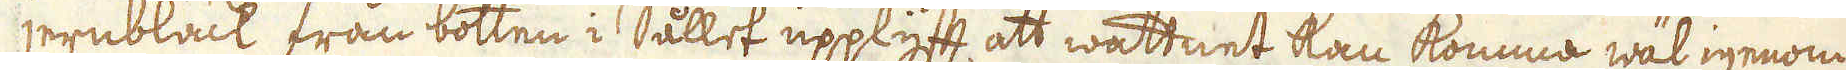jernbläck från botten i Sållet upplyftt att wannet kan komma wäl igenom,
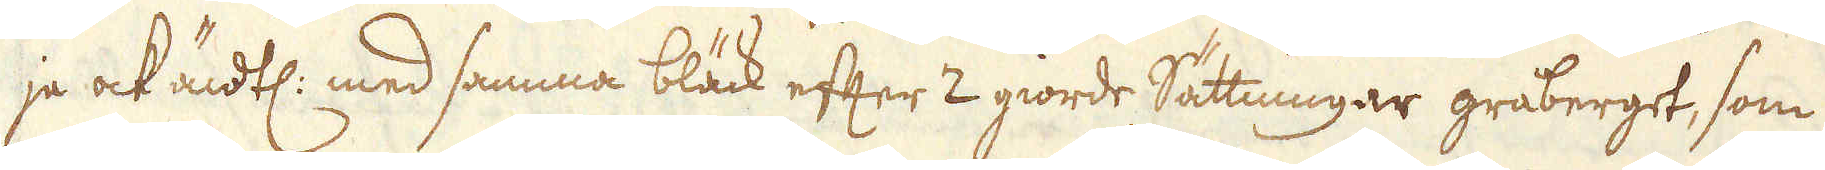ja ock ändtl: med samma bläck efter 2 giorde Sättningar gråberget, som
